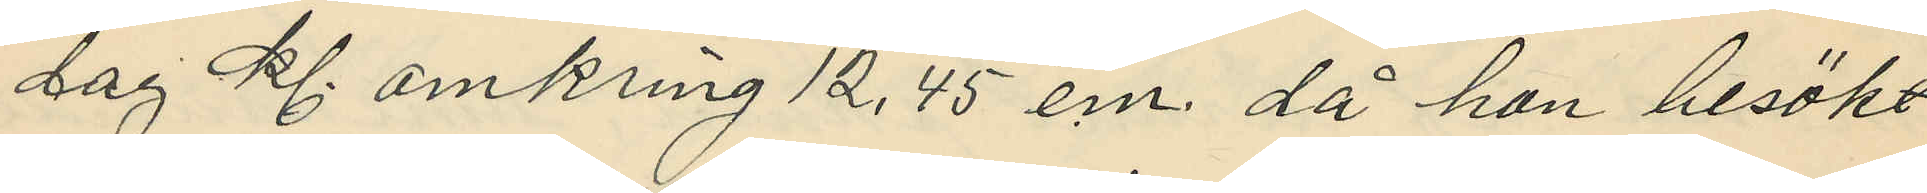dag kl. omkring 12,45 e.m. då hon besökt
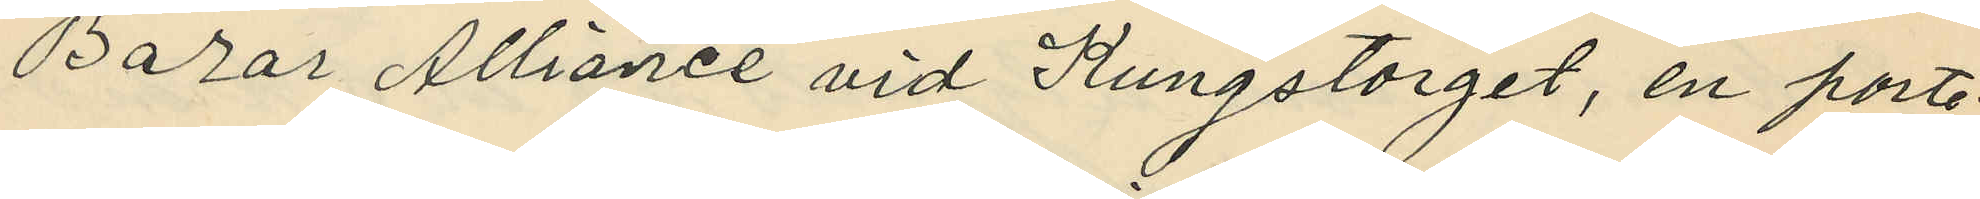Bazar Alliance vid Kungstorget, en porte¬
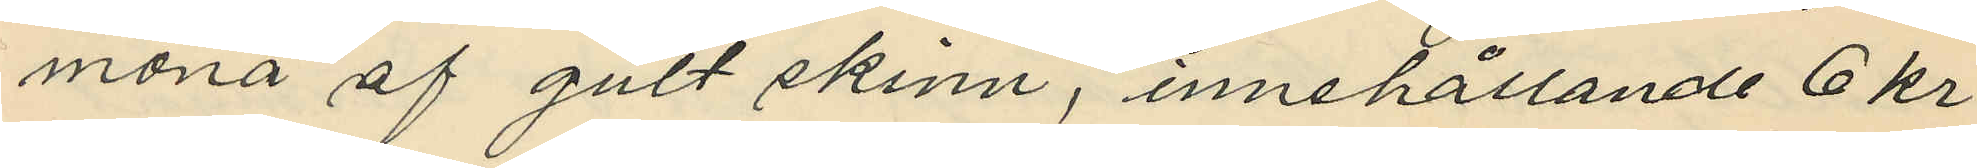monä af gult skinn, innehållande 6 kr
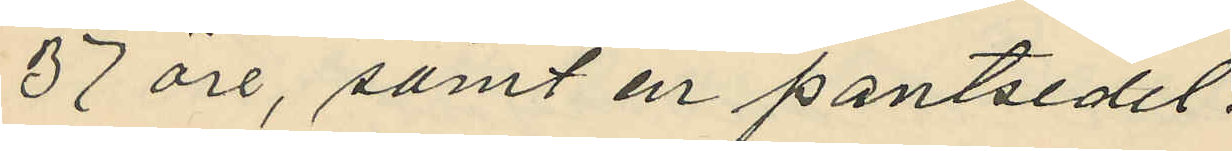37 öre, samt en pantsedel.
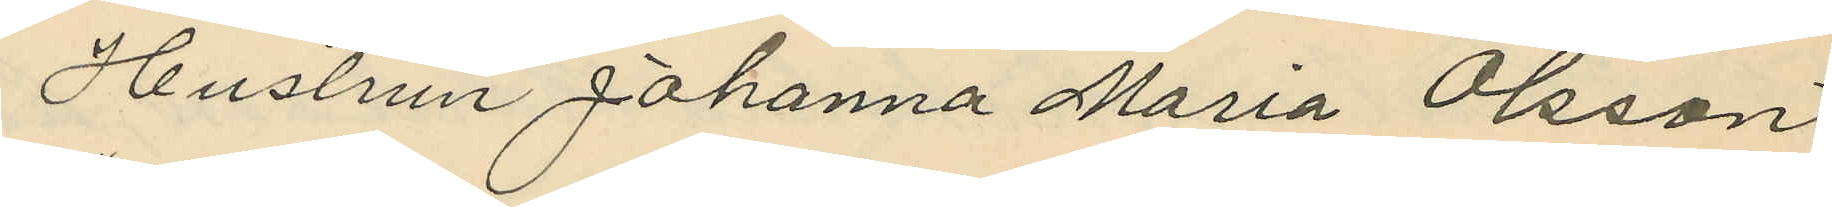Hustrun Johanna Maria Olsson
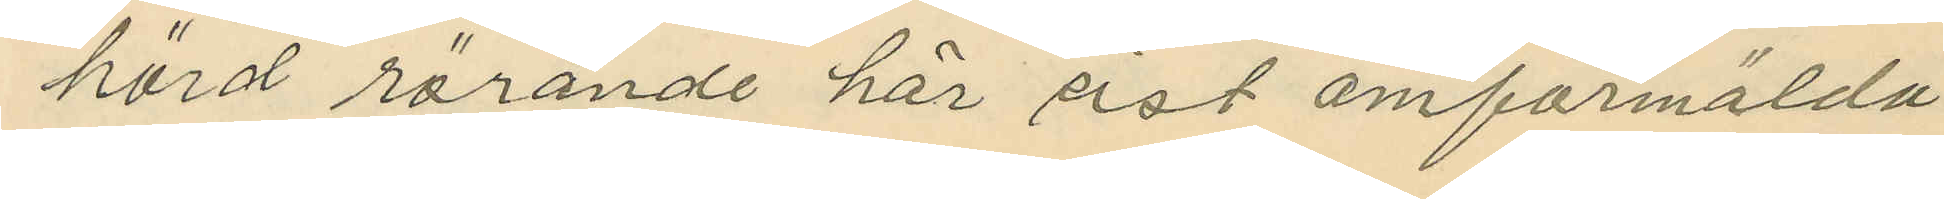hörd rörande här sist omförmälda
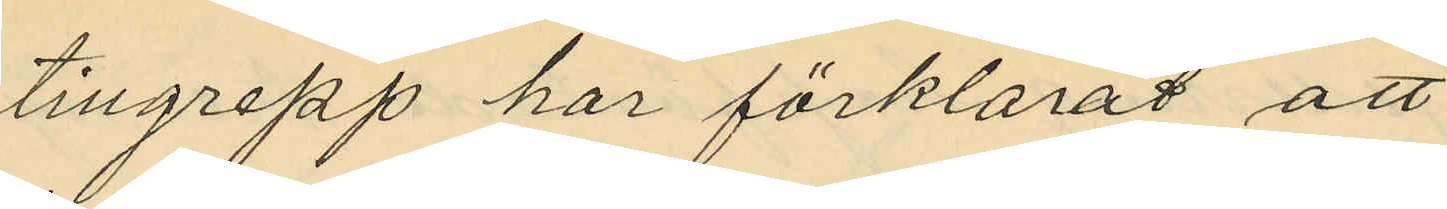tillgrepp har förklarat att
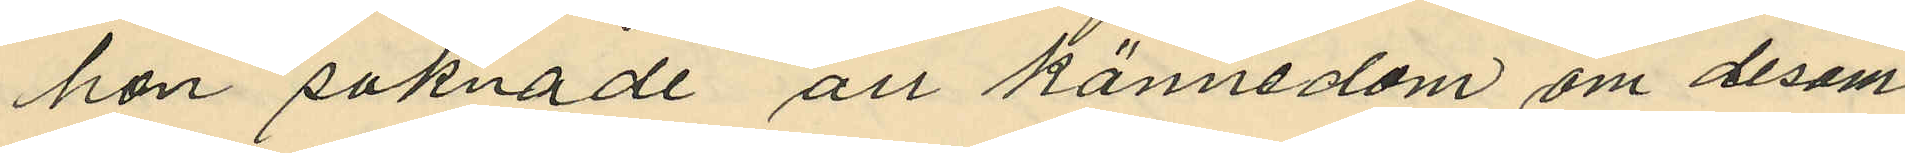hon saknade all kännedom om desam¬
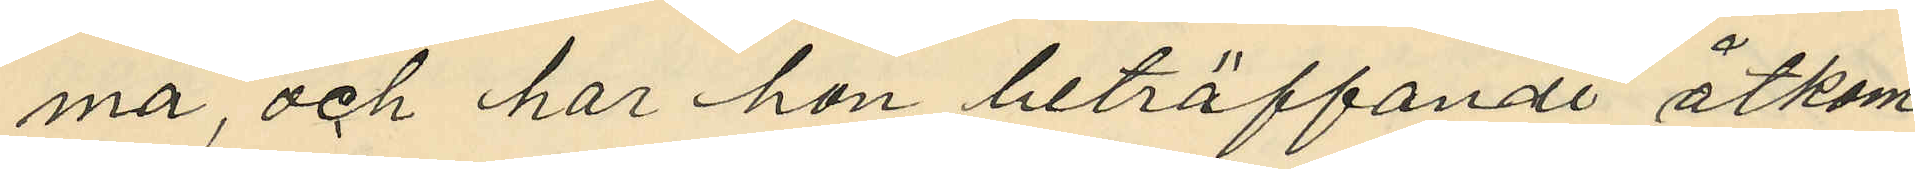ma, och har hon beträffande åtkom¬
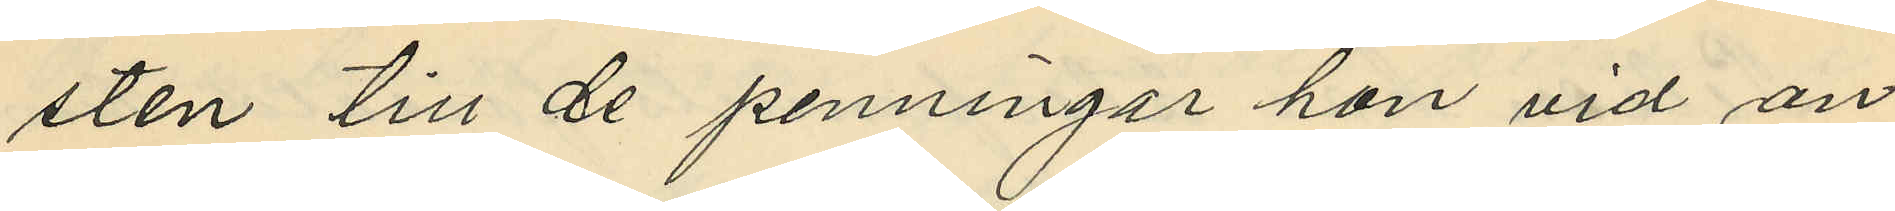sten till de penningar hon vid an¬
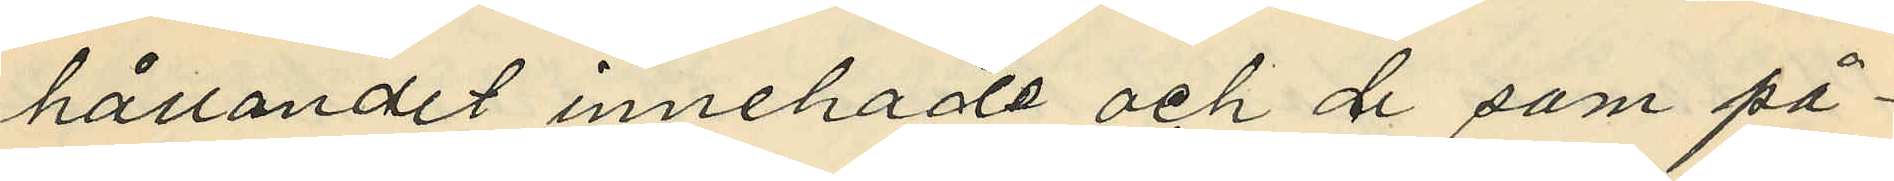hållandet innehade och de som på¬
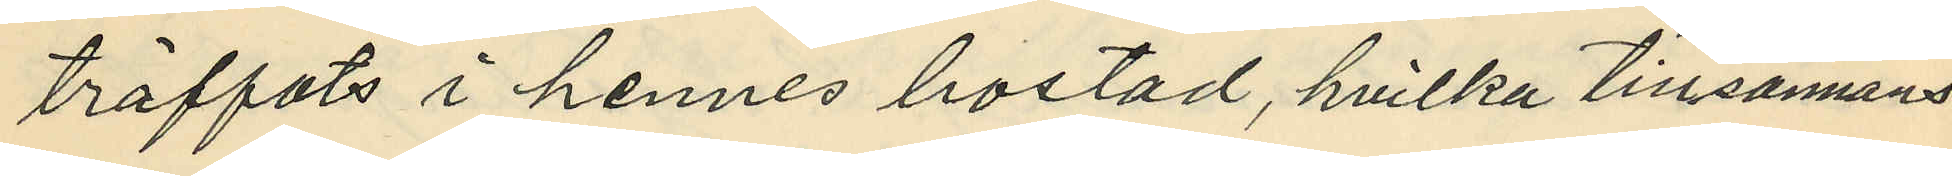träffats i hennes bostad, hvilka tillsannans
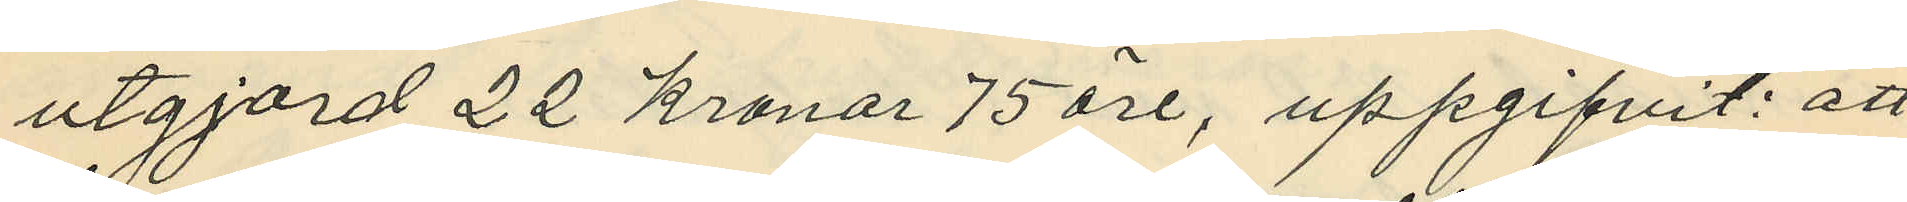utgjord 22 kronor 75 öre, uppgifvit: att
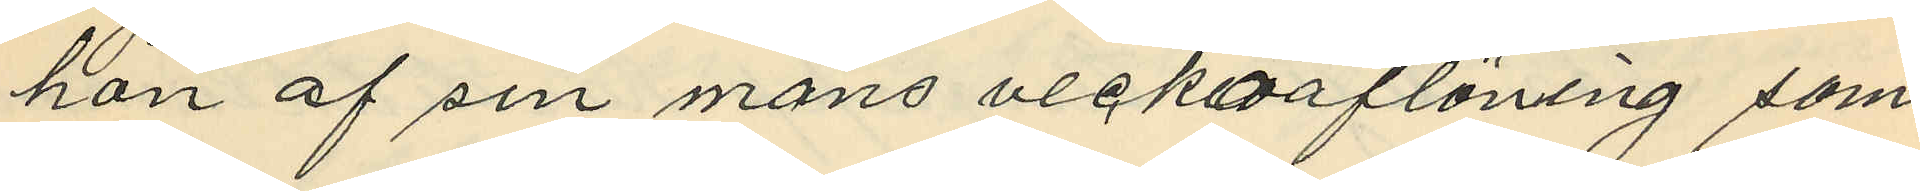hon af sin mans veckoaflöning som
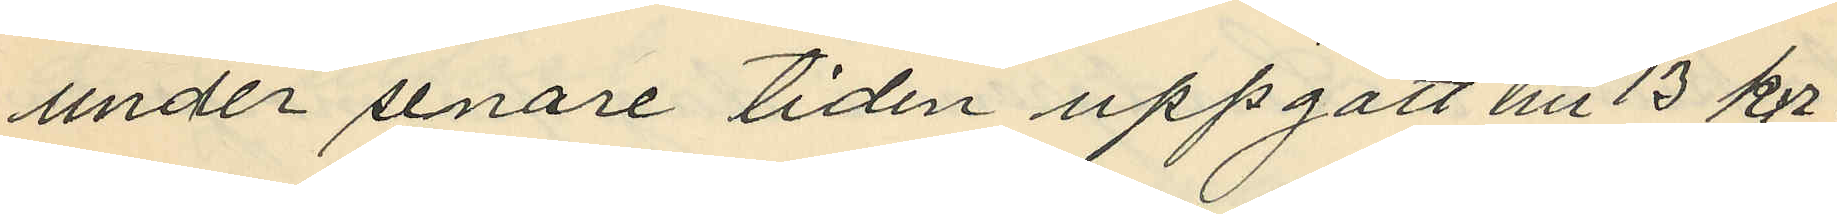under senare tiden uppgått till 13 kr;
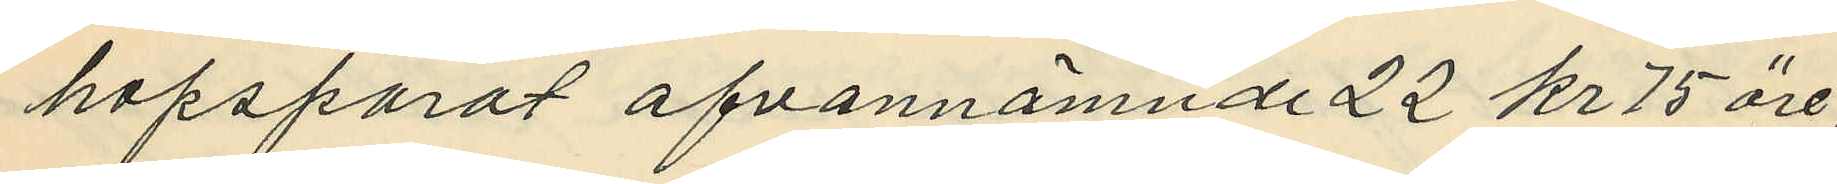hopsparat ofvannämnde 22 kr 75 öre;
